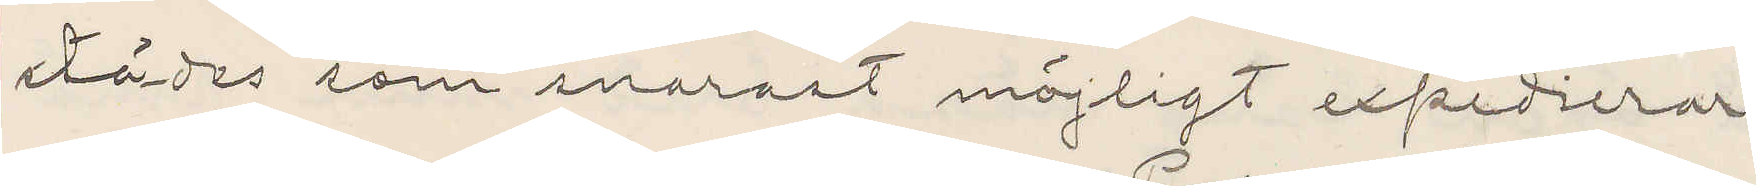städes som snarast möjligt expedierar.
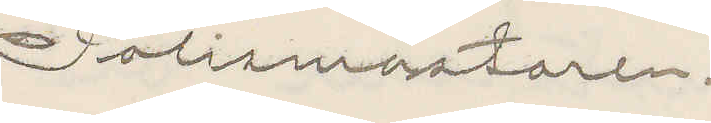Polismästaren.
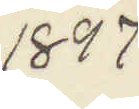1897
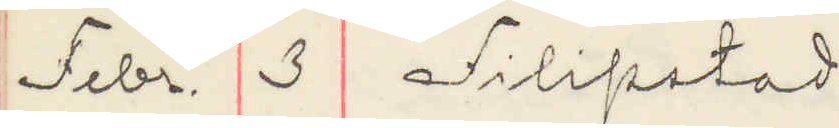Febr. 3 Filipstad
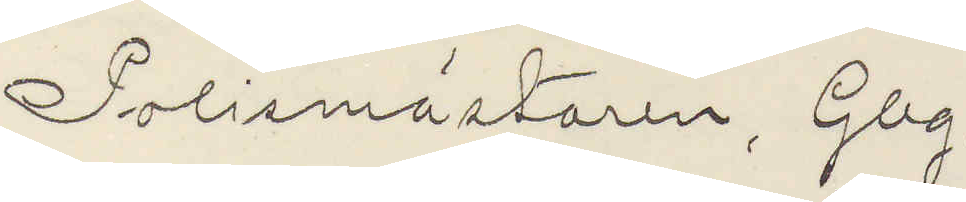Polismästaren, Gbg
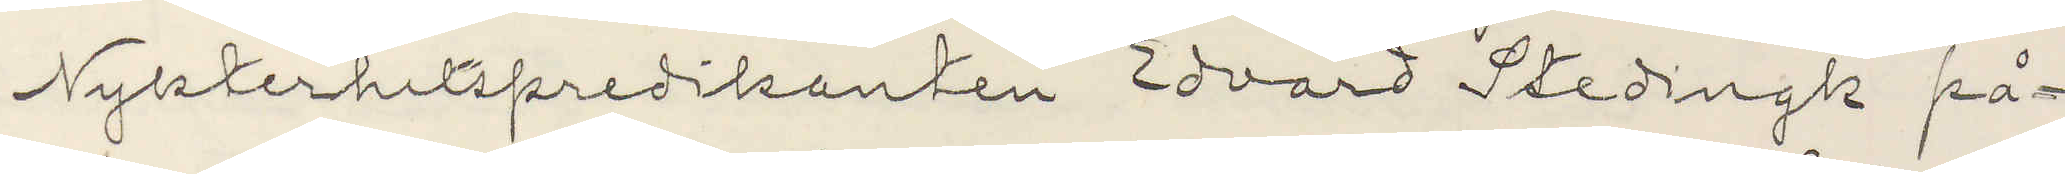Nykterhetspredikanten Edvard Stedingk på¬
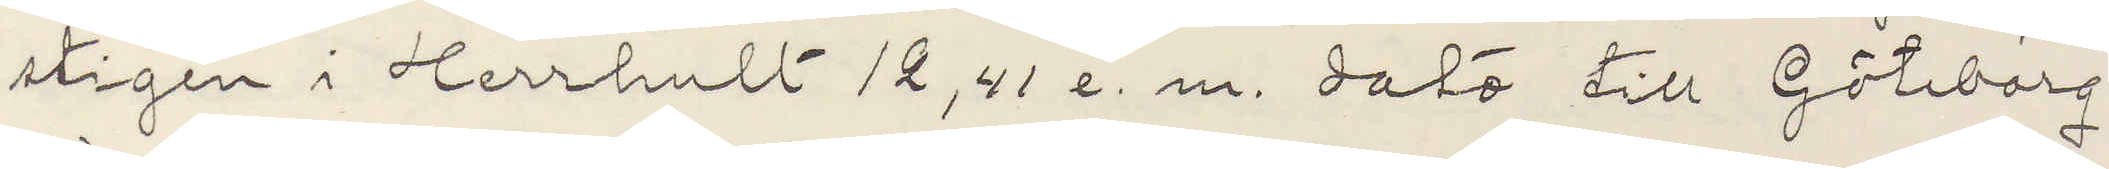stigen i Herrhult 12,41 e. m. dato till Göteborg
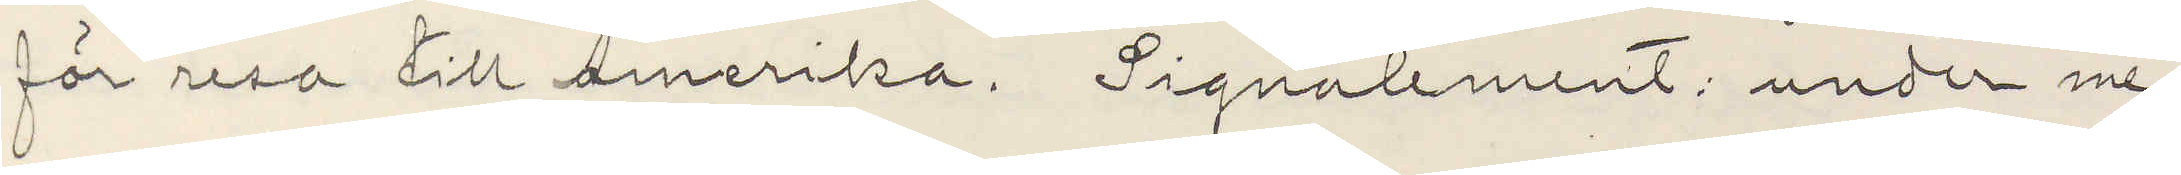för resa till Amerika. Signalement under me¬
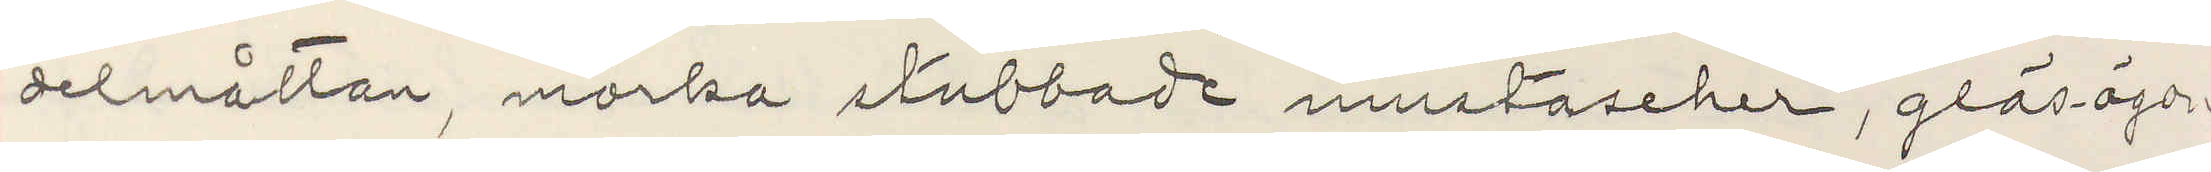delmåttan, mörka stubbade mustascher, gläs-ögon
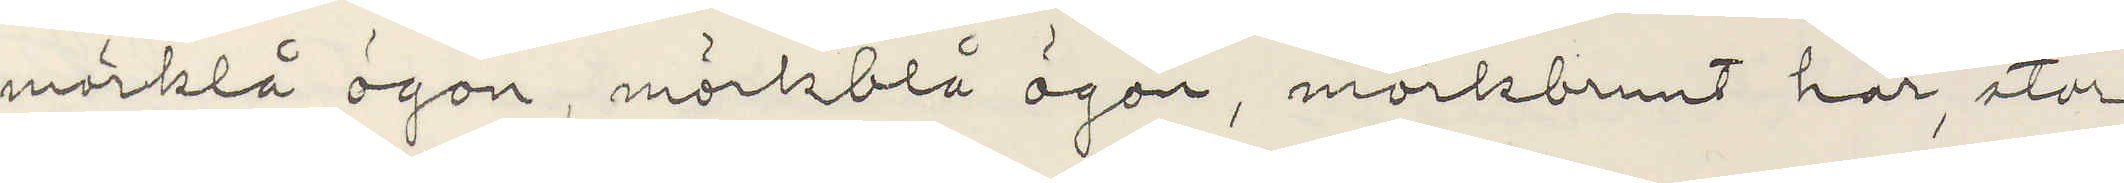mörkblå ögon, mörkblå ögon, mörkbrunt hår, stor
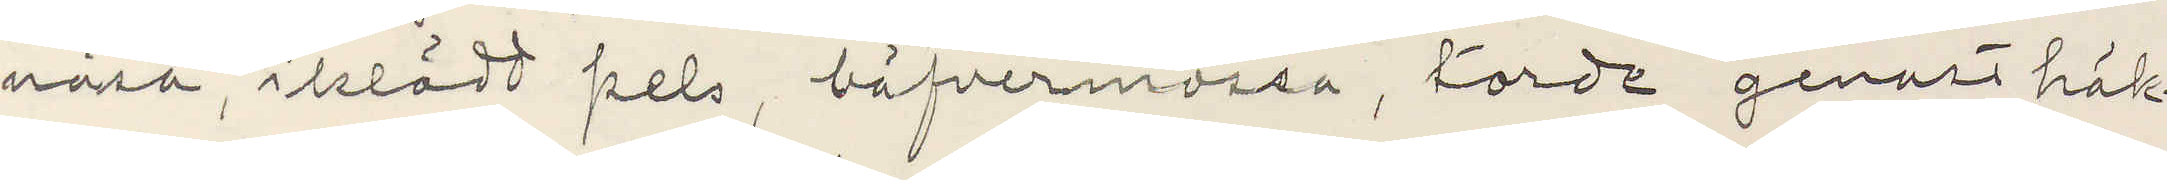näsa, iklädt pels, bäfvermössa, torde genast häk¬
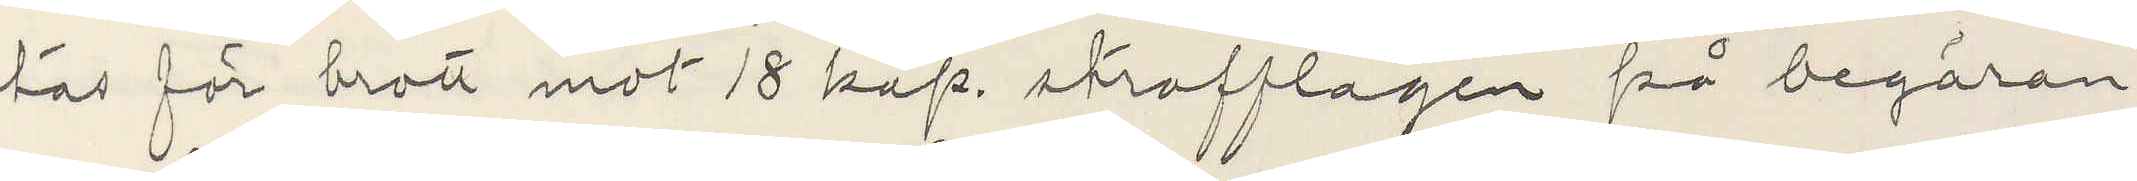tas för brott mot 18 kap. strafflagen på begäran
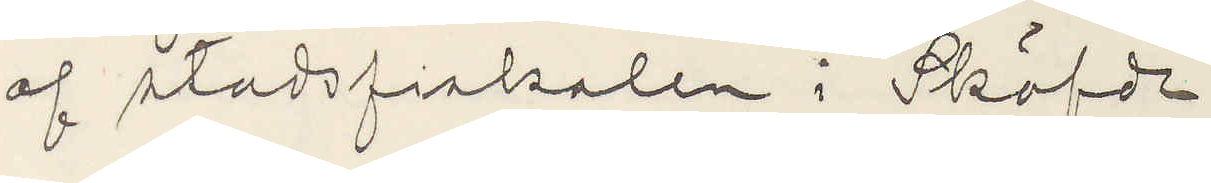af stadsfiskalen i Sköfde.
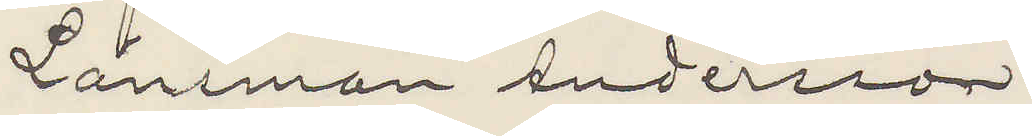Länsman Andersson
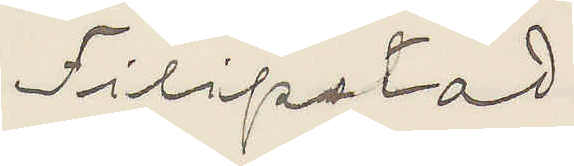Filipstad.
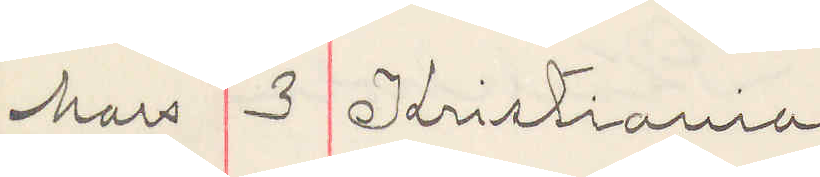3 Kristiania
